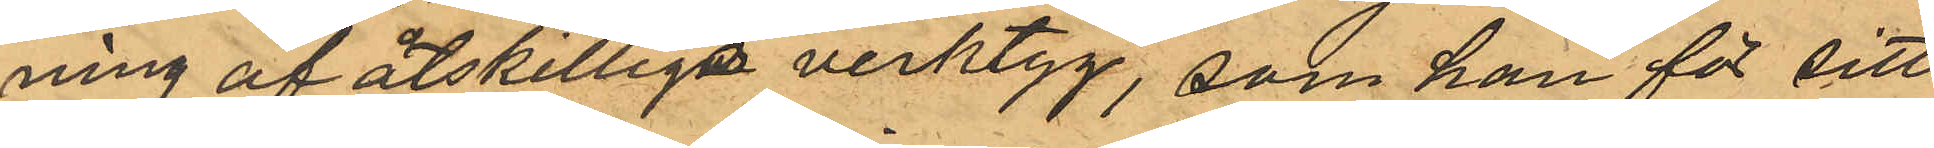ning af åtskilliga verktyg, som han för sitt
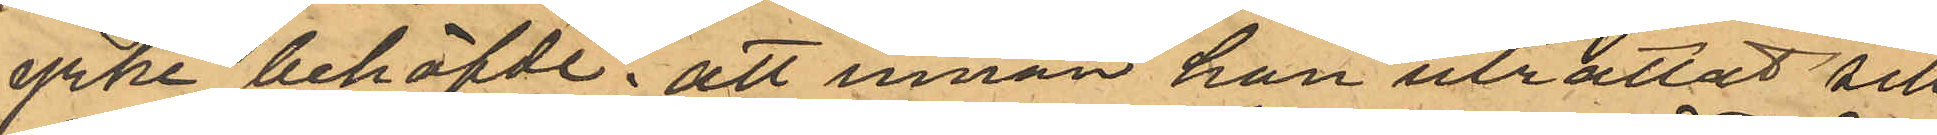yrke behöfde; att innan han uträttat sitt
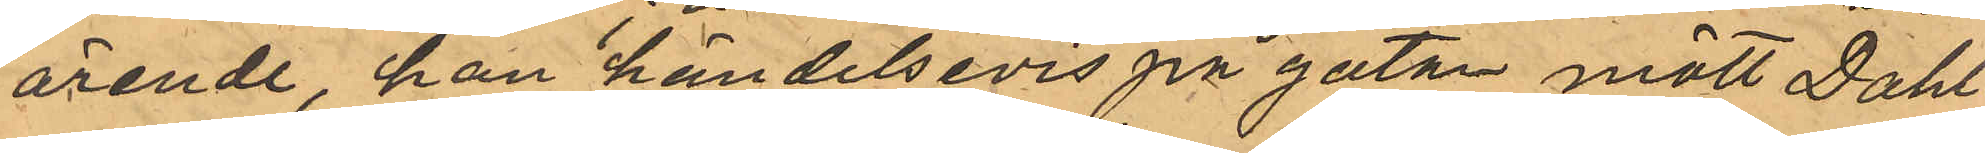ärende, han händelsevis på gatan mött Dahl¬
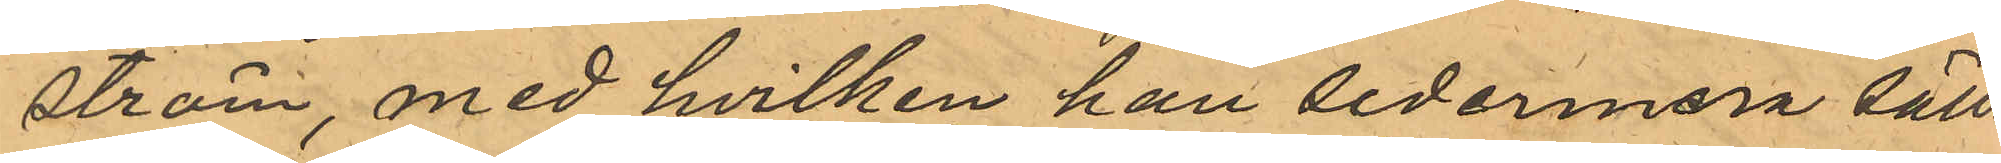ström, med hvilken han sedermera säll¬
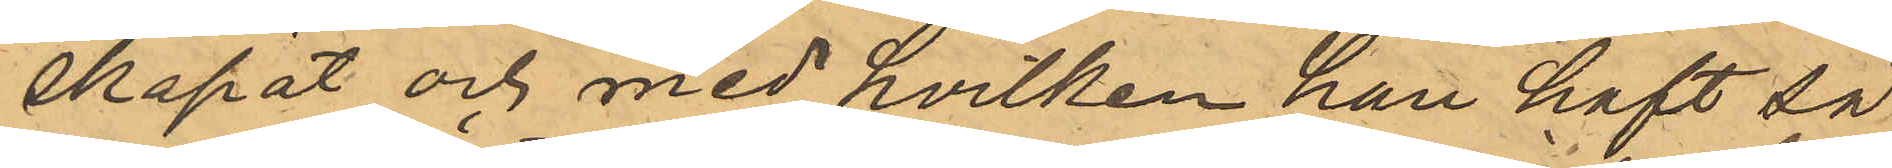skapat och med hvilken han haft så
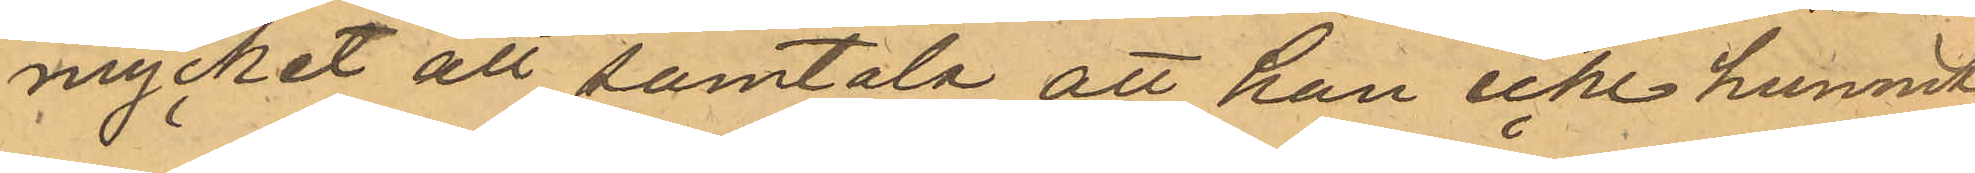mycket att samtala att han icke hunnit
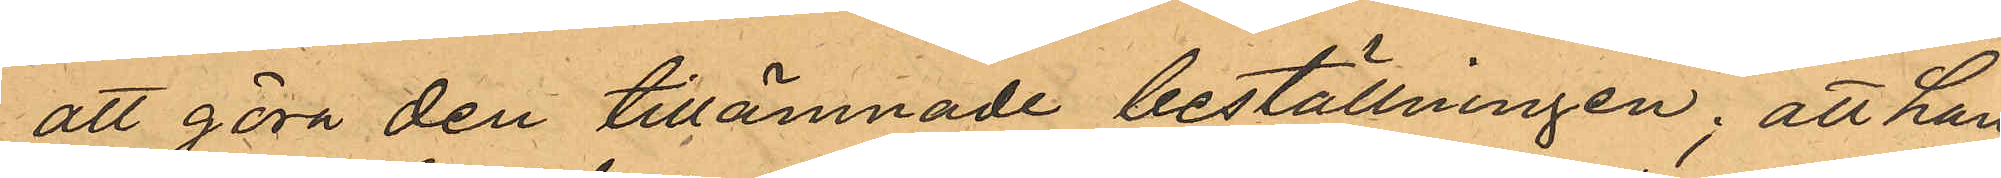att göra den tillämnade beställningen; att han
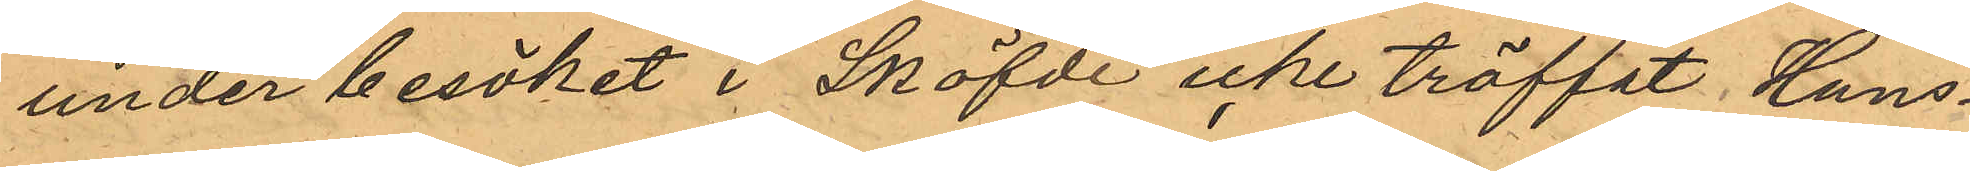under besöket i Sköfde icke träffat Hans¬
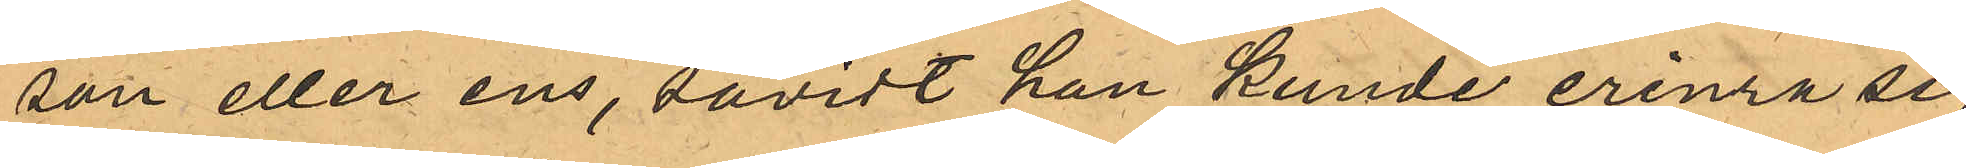son eller ens, såvidt han kunde erinra sig,
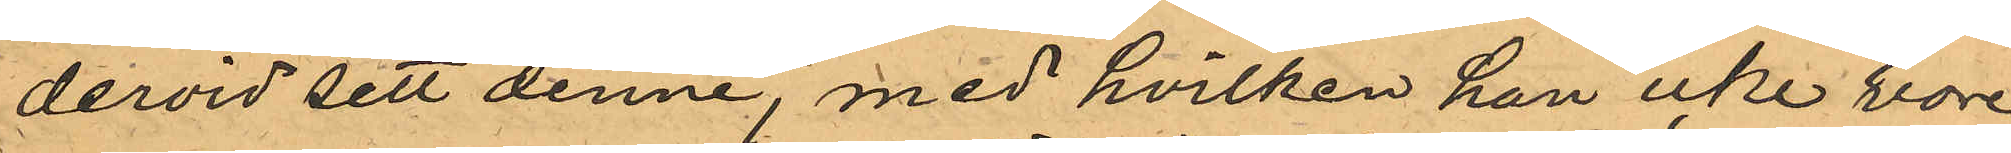dervid sett denne, med hvilken han icke vore
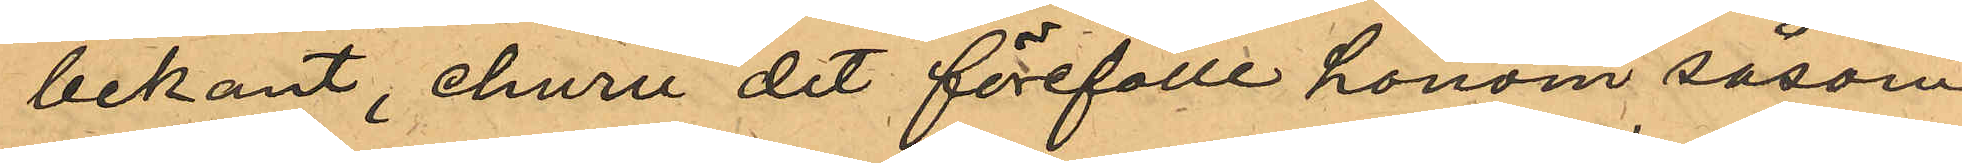bekant, ehuru det förefölle honom såsom
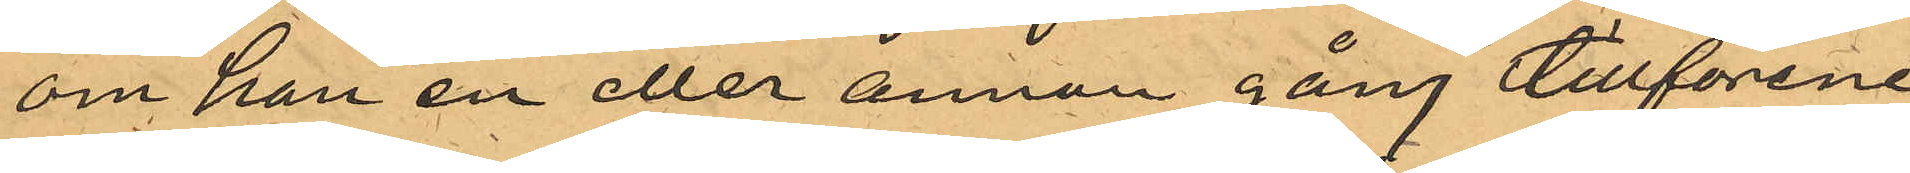om han en eller annan gång tillförene
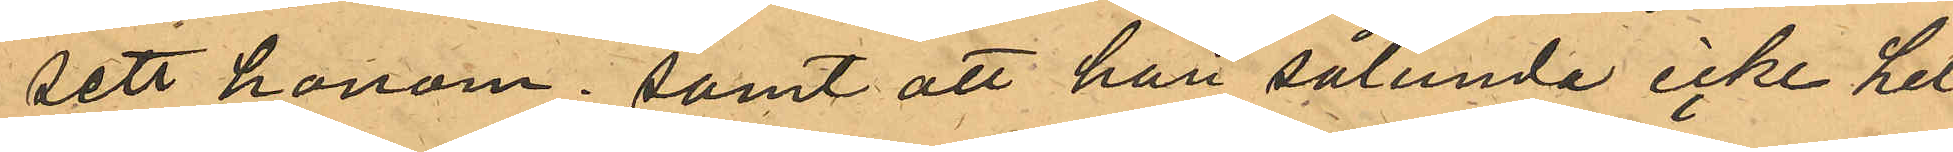sett honom; samt att han sålunda icke hel¬
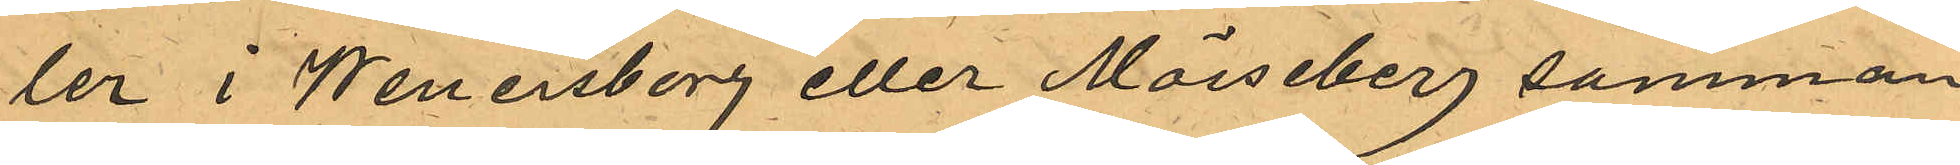ler i Wenersborg eller Mösseberg samman¬
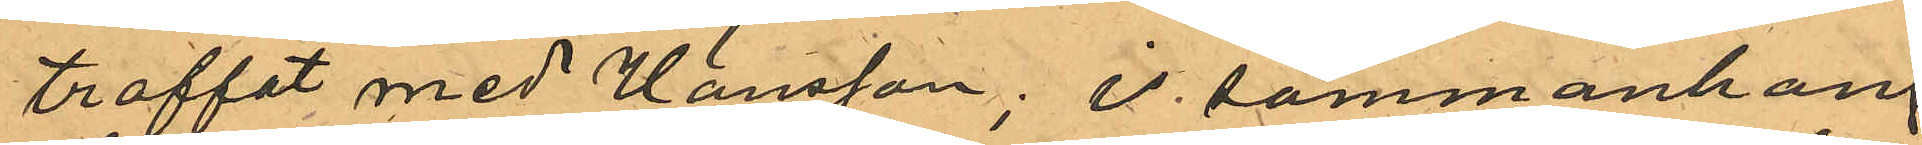traffat med Hansson; i sammanhang
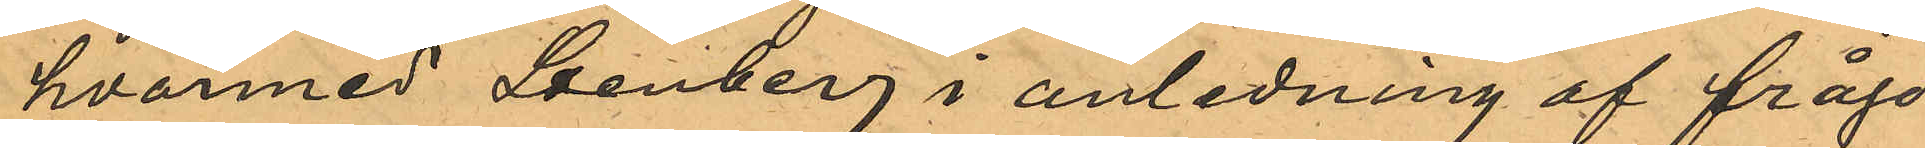hvarmed Stenberg i anledning af frågor
